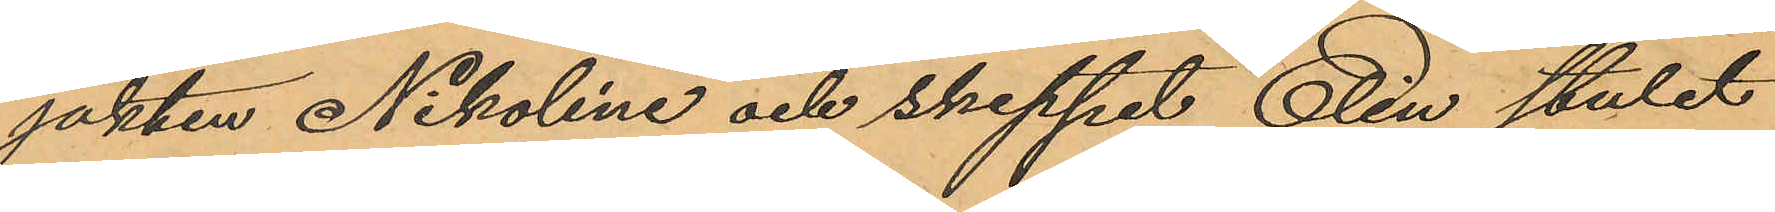jakten Nikoline och skeppet Elin stulet
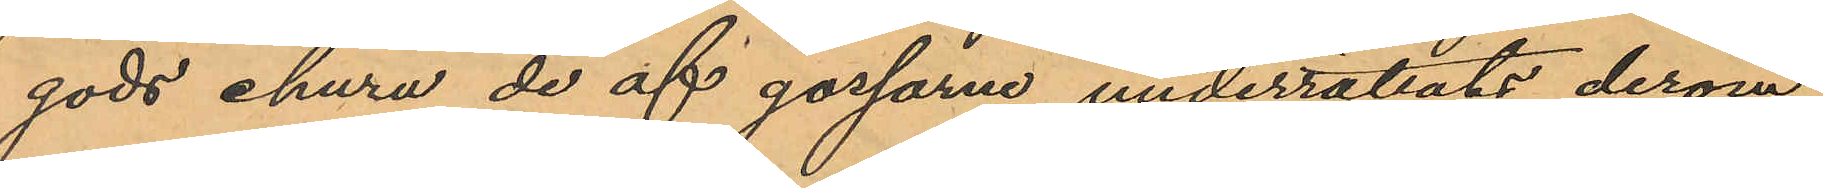gods ehuru de af gossarne underrättats derom
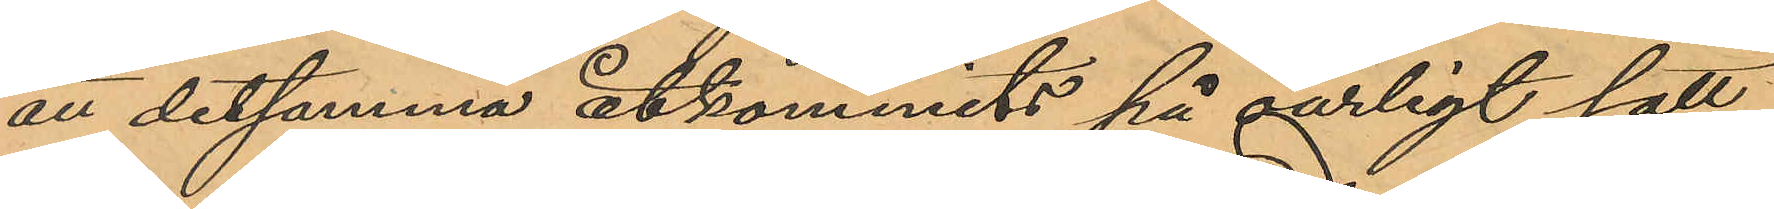att detsamma åtkommits på oärligt sätt,
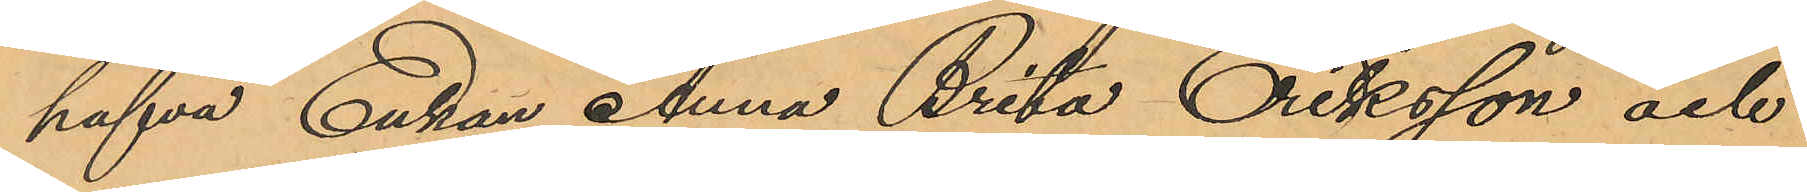hafva Enkan Anna Brita Eriksson och
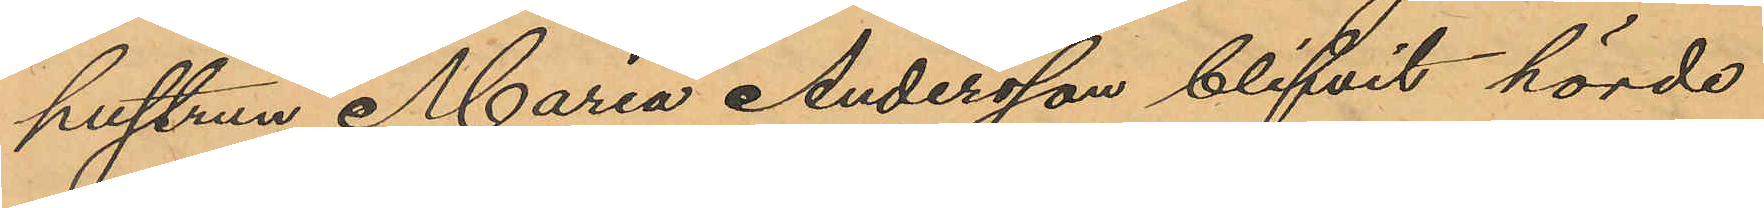hustrun Maria Andersson blifvit hörde
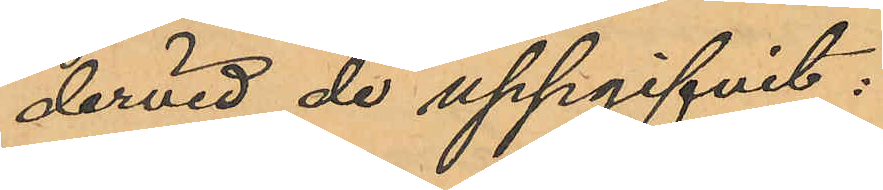dervid de uppgifvit:
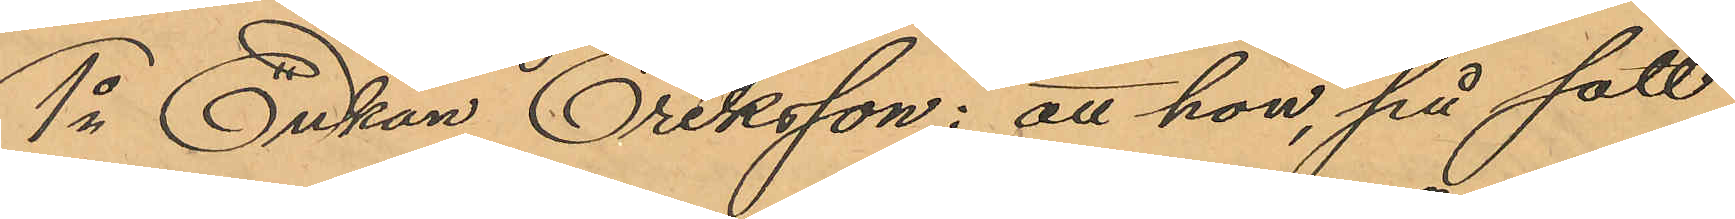1o Enkan Eriksson: att hon, på sätt
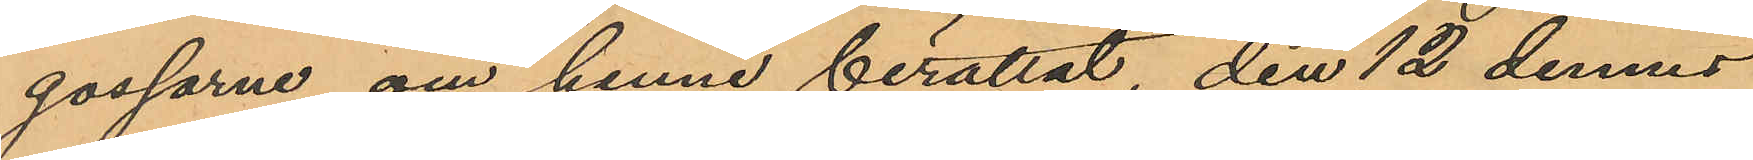gossarne om henne berättat, den 12 dennes
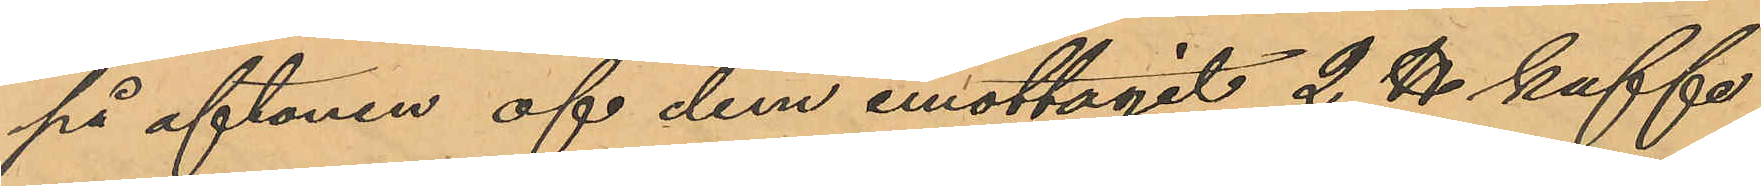på aftonen af dem emottagit 2 ℔ kaffe,
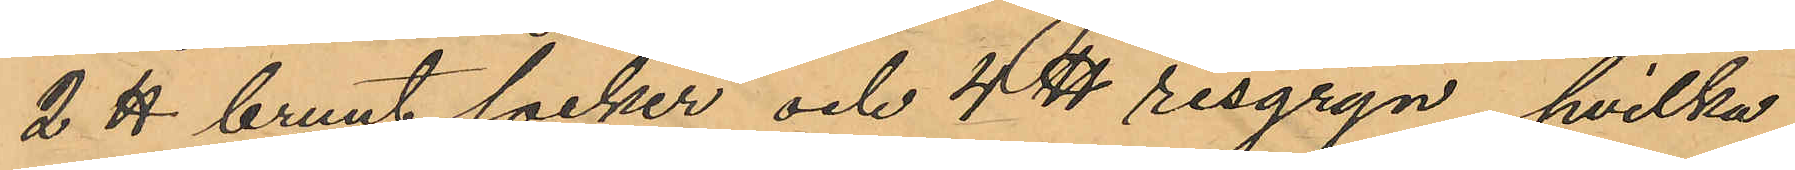2 ℔ brunt socker och 4 ℔ risgryn, hvilka
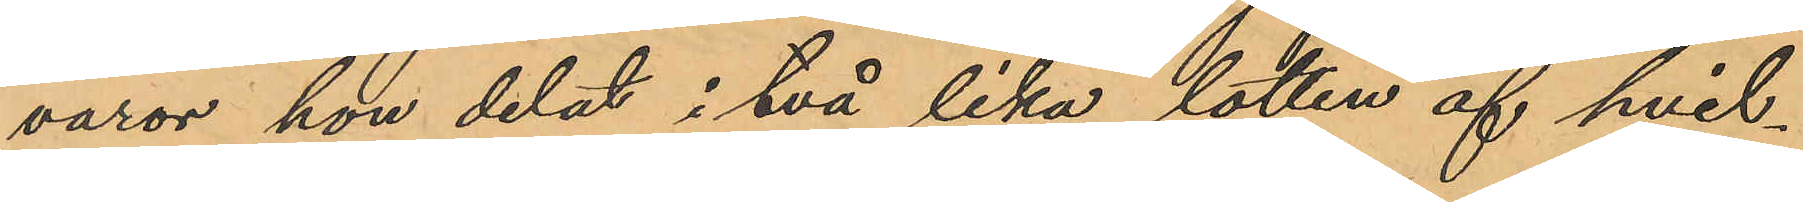varor hon delat i två lika lotter af hvil¬
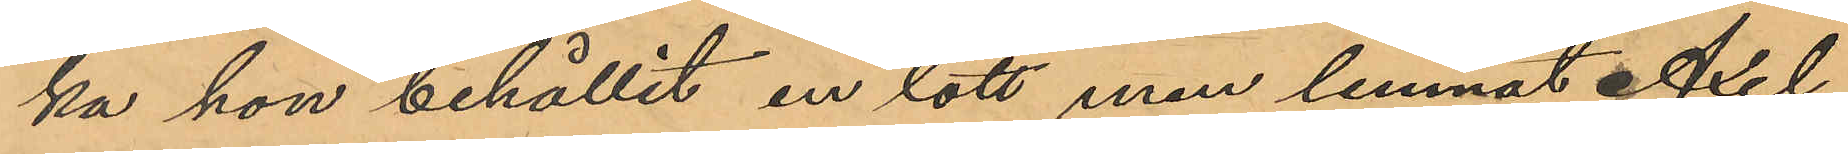ka hon behållit en lott men lemnat Axel
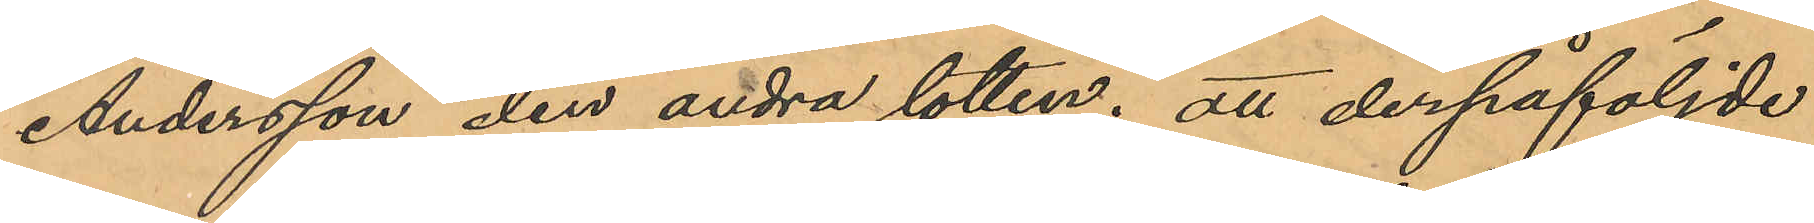Andersson den andra lotten; att derpåföljde
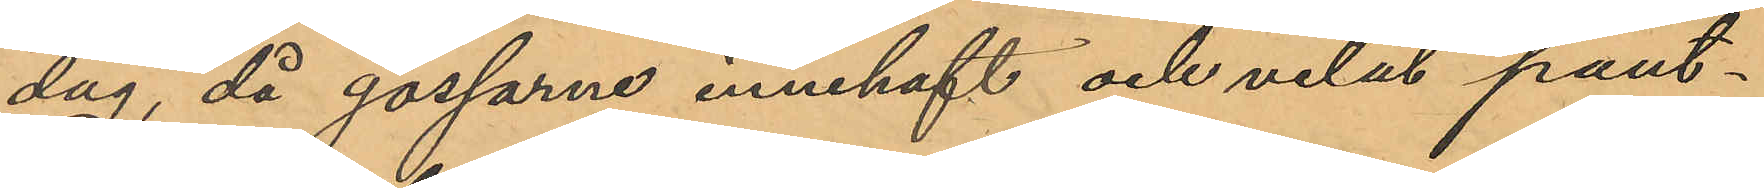dag, då gossarne innehaft och velat pant¬
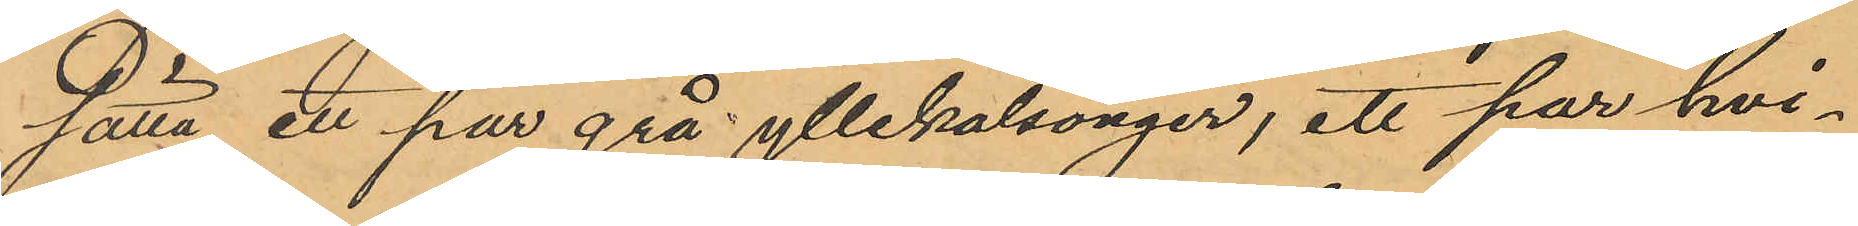sätta ett par grå yllekalsonger, ett par hvi¬
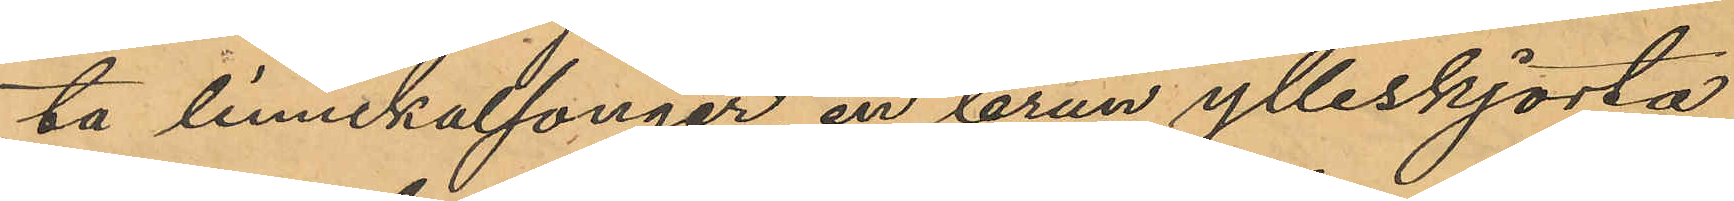ta linnekalsonger, en brun ylleskjorta
